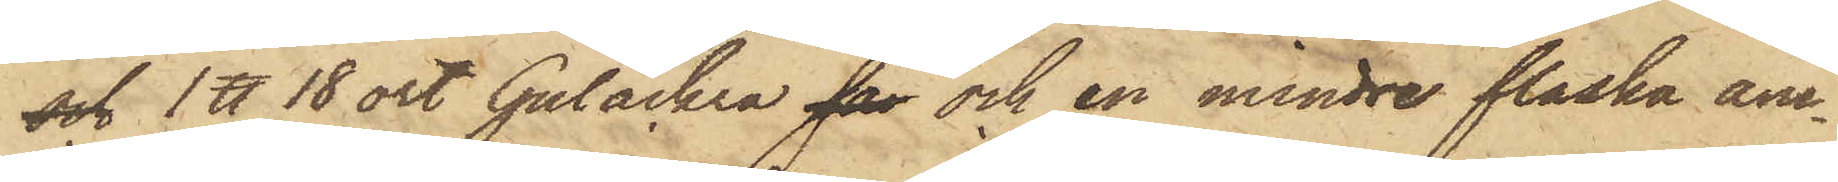och 1 ℔ 18 ort Gulåckra far och en mindre flaska ani¬
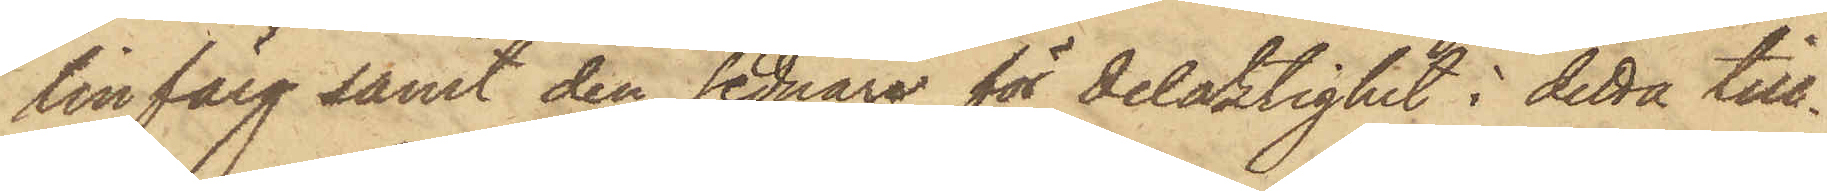linfärg samt den sednare för delaktighet i detta till¬
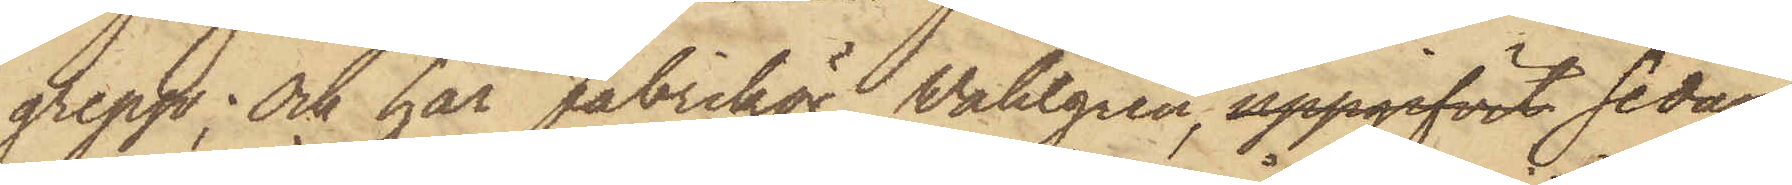grepp; Och har fabrikör Wahlgren, uppgifvit sedan
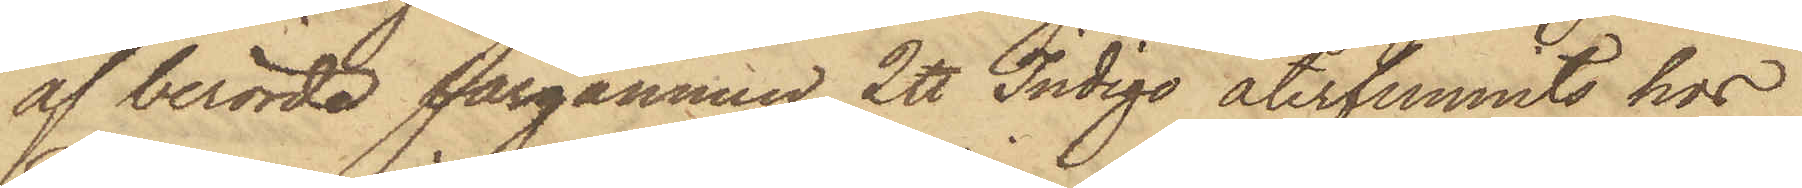af berörda färgämnen 2 ℔ Indigo återfunnits hos
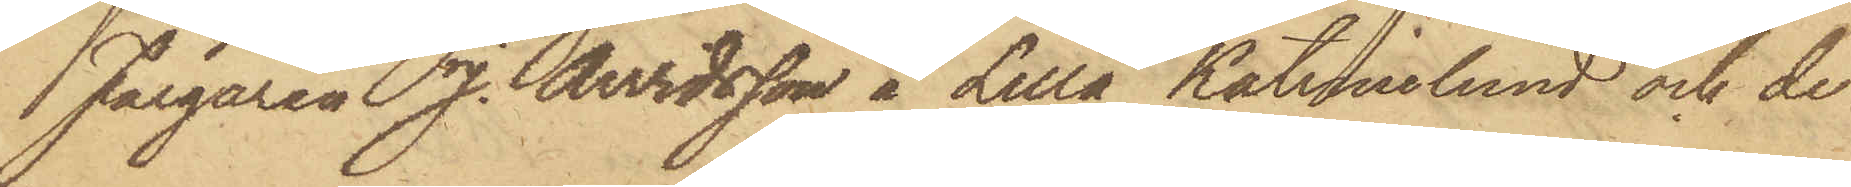Färgaren J. Arvidsson å Lilla Katrinelund och de
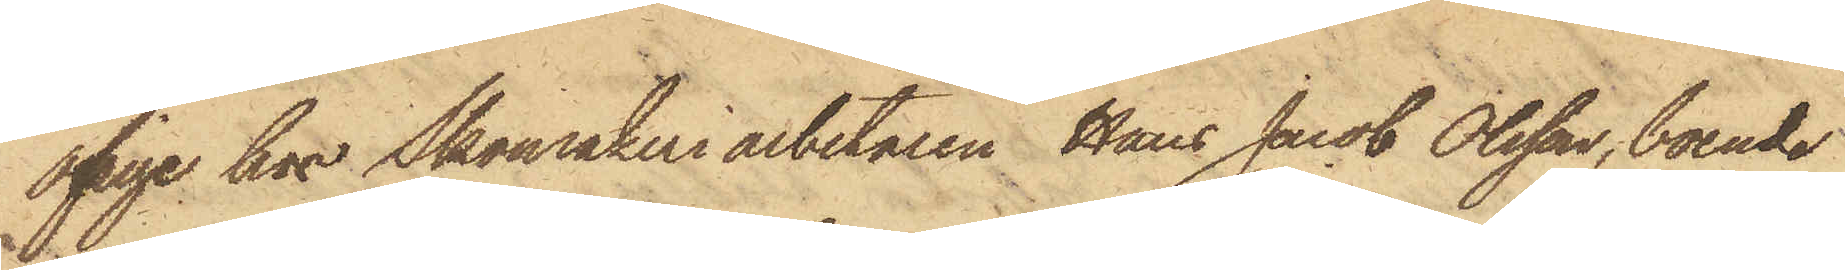öfrige hos Skomakeriarbetaren Hans Jacob Olsson, boende
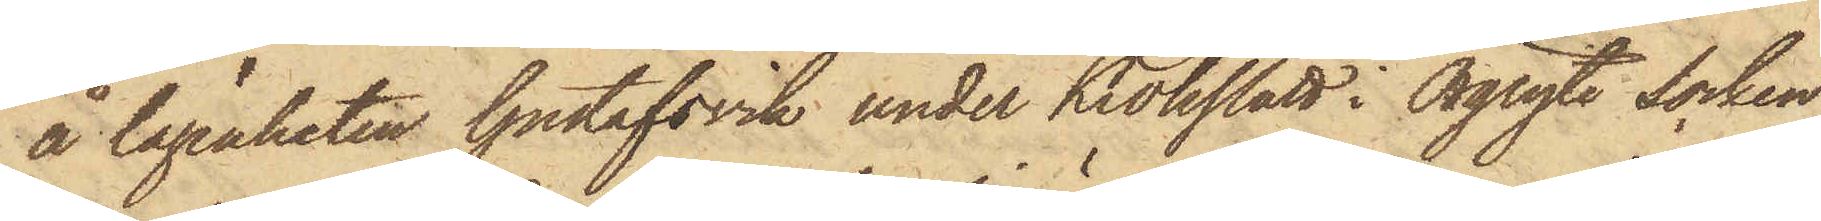å lägenheten Gustafsvik under Krokslätt i Örgryte Socken,
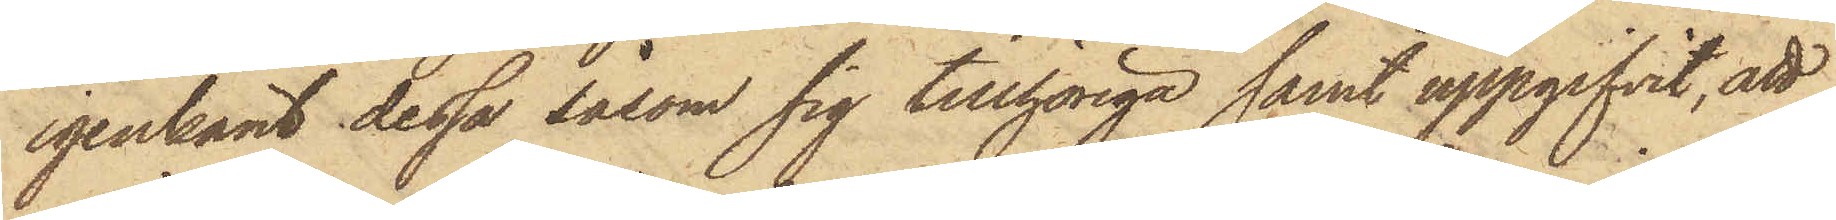igenkänt dessa såsom sig tillhöriga samt uppgifvit, att
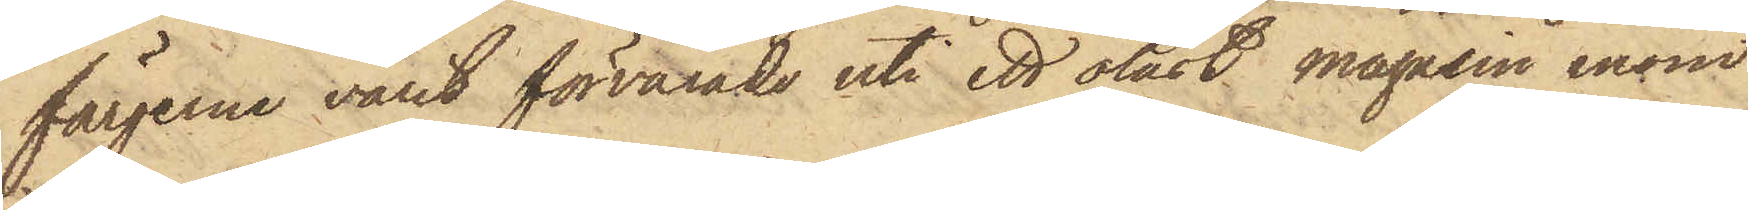färgerne varit förvarade uti ett olåst magasin inom
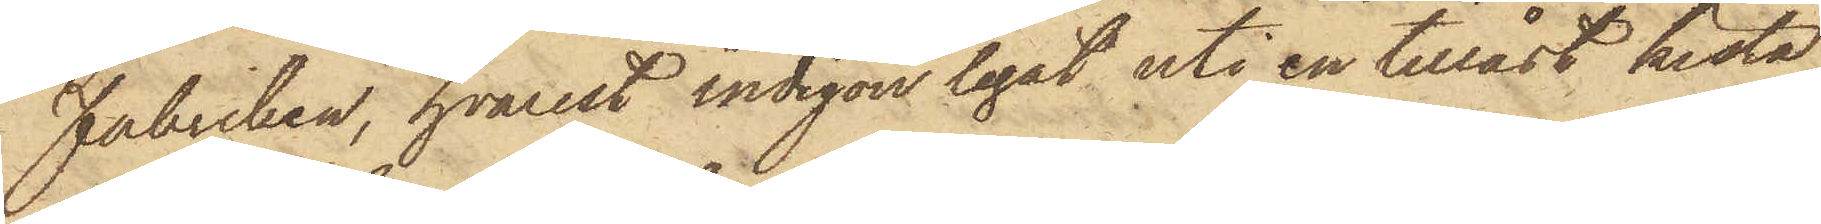Fabriken, hvarest indigon legat uti en tillåst kista,
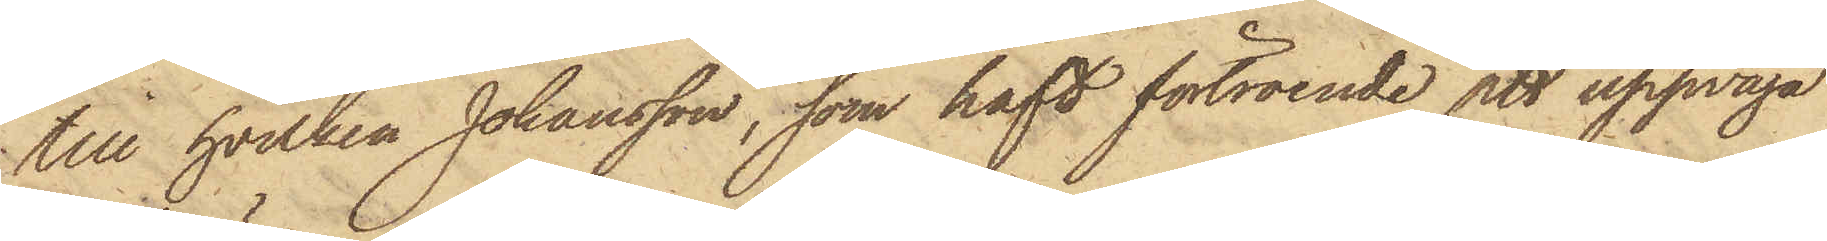till, hvilken Johansson, som haft förtroende att uppväga
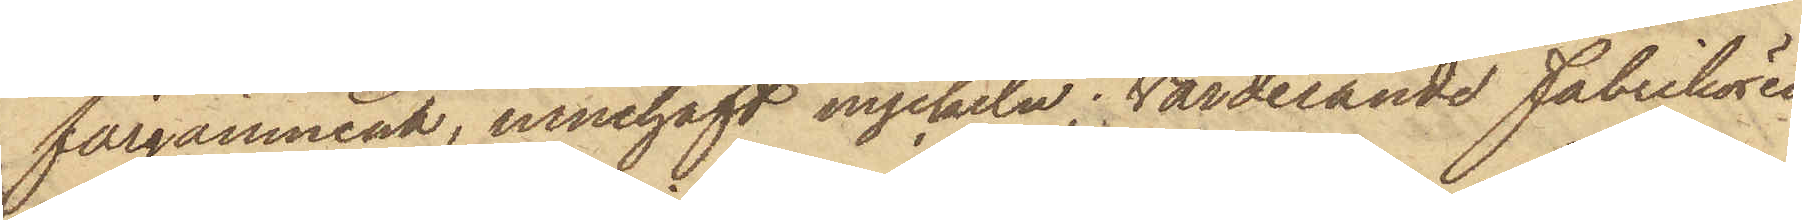färgämnena, innehaft nyckeln; Värderande Fabrikören
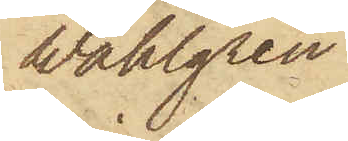Wahlgren
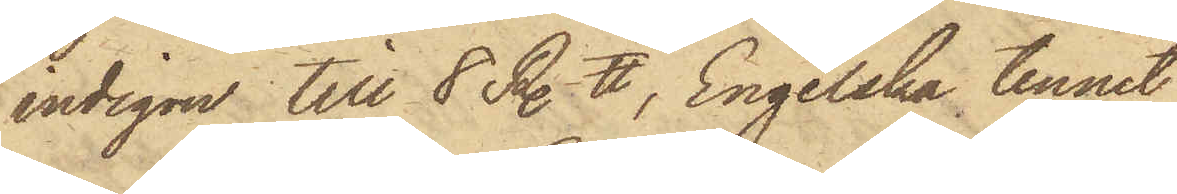indigon till 8 R. ℔, Engelska tennet
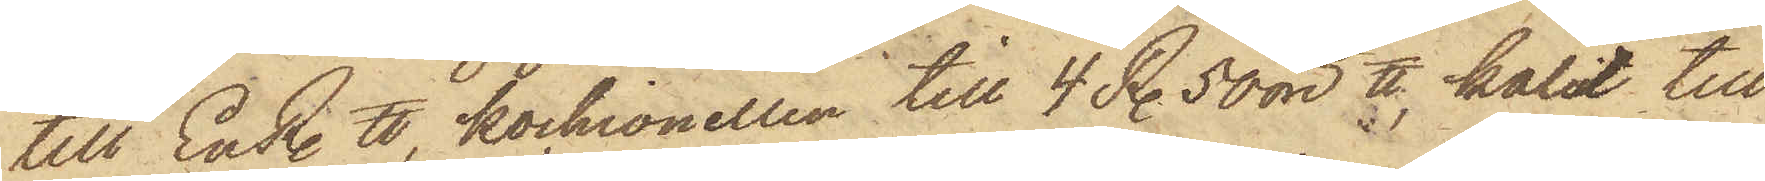till En R. ℔, kochionellen till 4 R. 50 öre ℔, kalit till
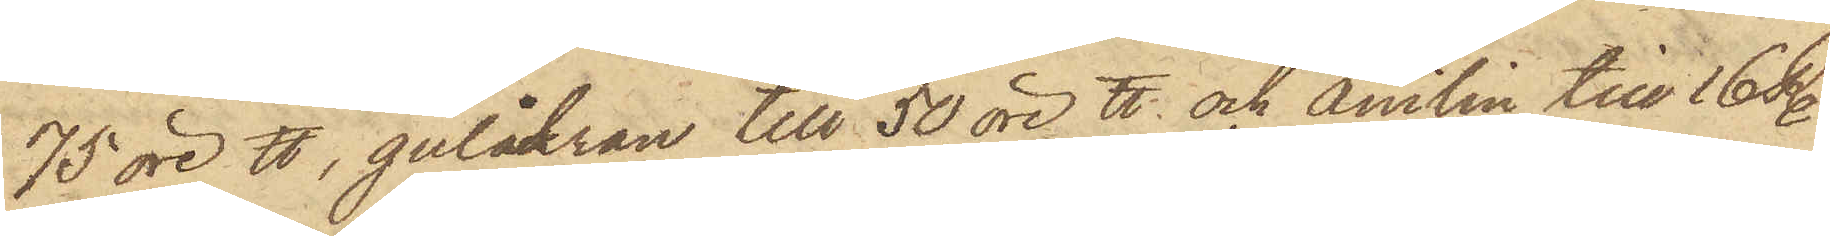75 öre ℔, gulåckran till 50 öre ℔ och Anilin till 16 R.
